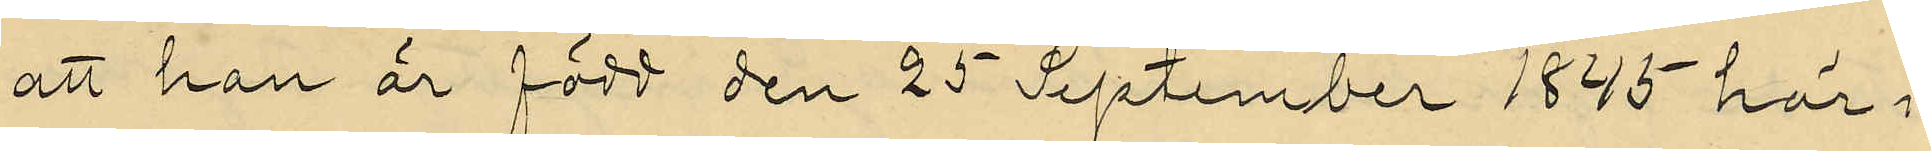att hon är född den 25 September 1845 här i
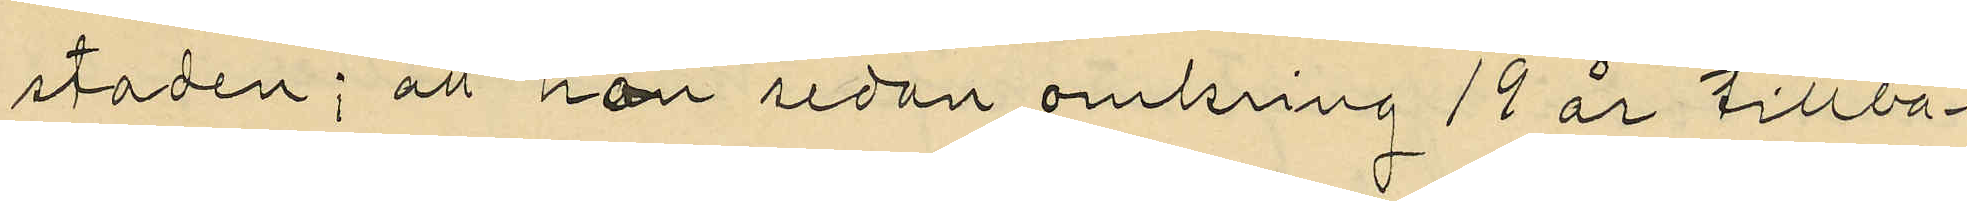staden; att hon sedan omkring 19 år tillba¬
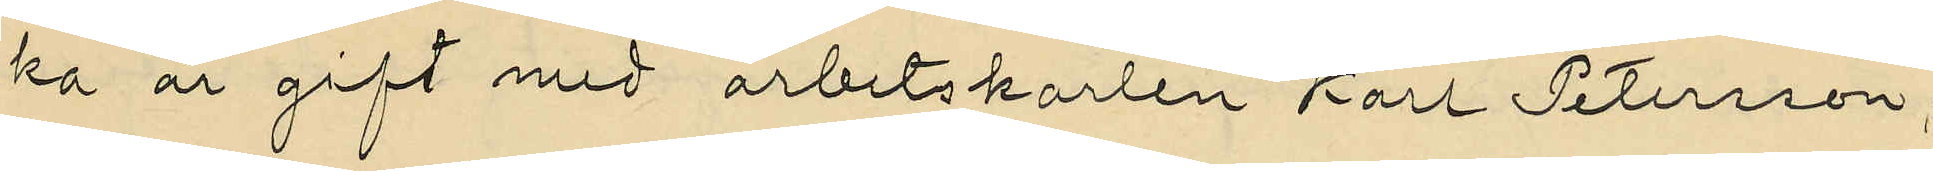ka är gift med arbetskarlen Karl Petersson,
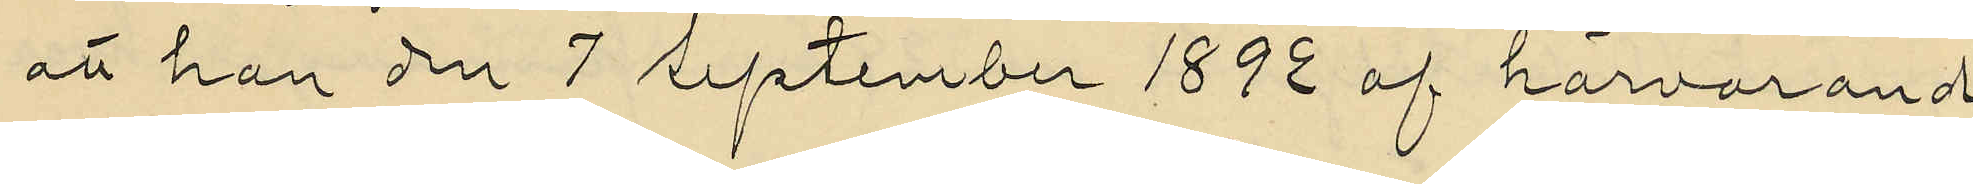att hon den 7 September 1892 af härvarande
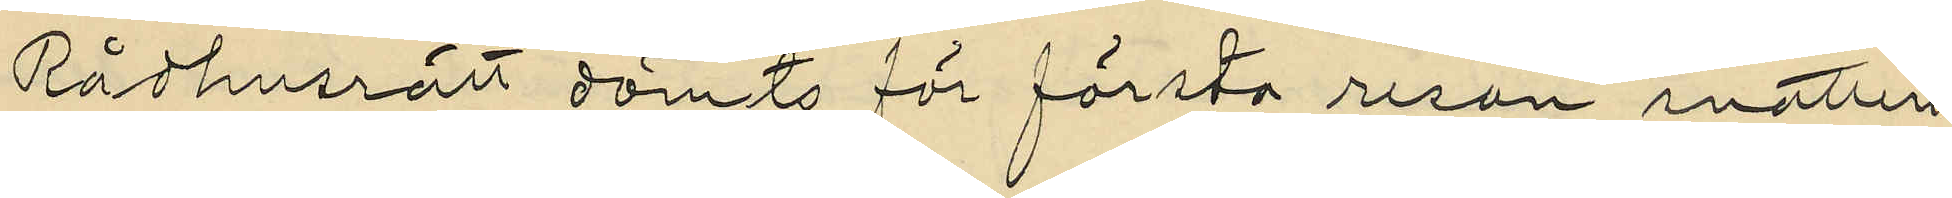Rådhusrätt dömts för första resan snatteri
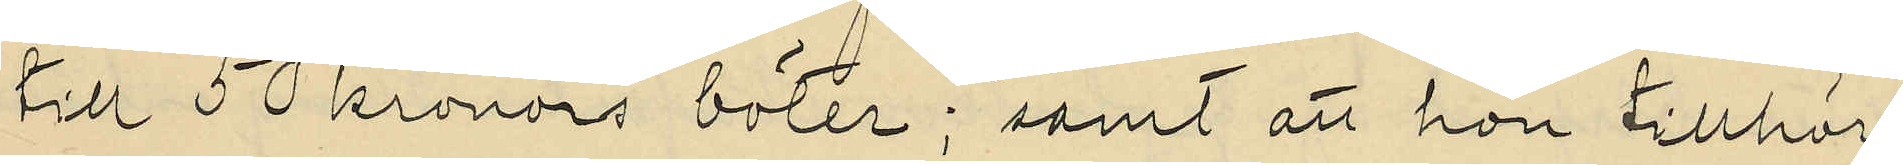till 50 kronors böter; samt att hon tillhör
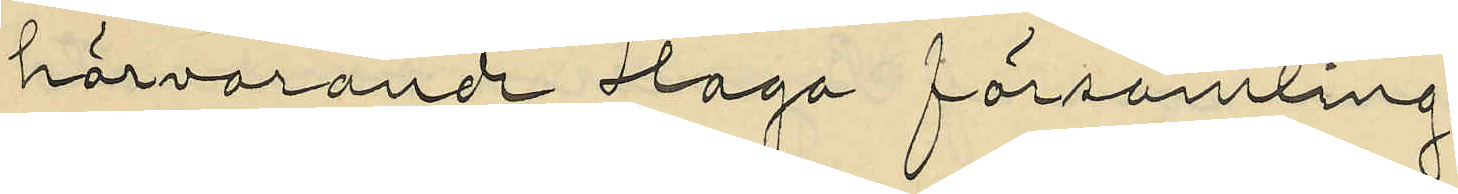härvarande Haga församling.
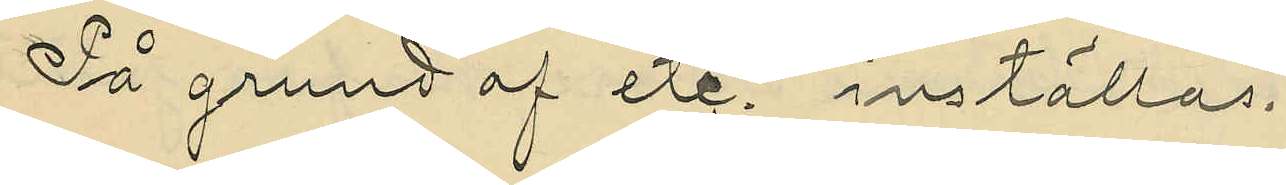På grund af etc. inställas.
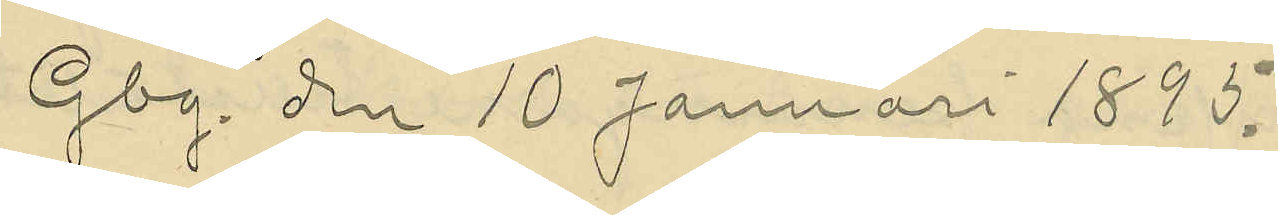Gbg. den 10 Januari 1895.
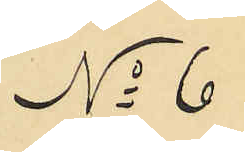No 6
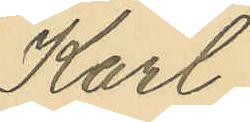Karl
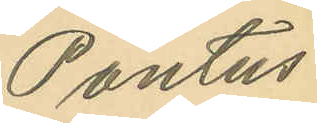Pontus
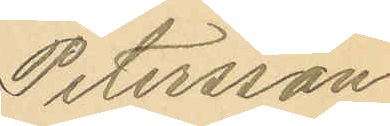Petersson
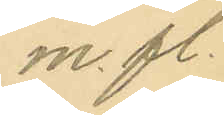m. fl.
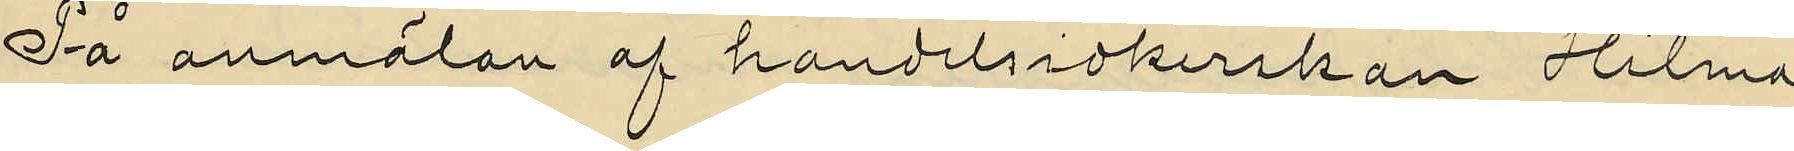På anmälan af handelsidkerskan Hilma
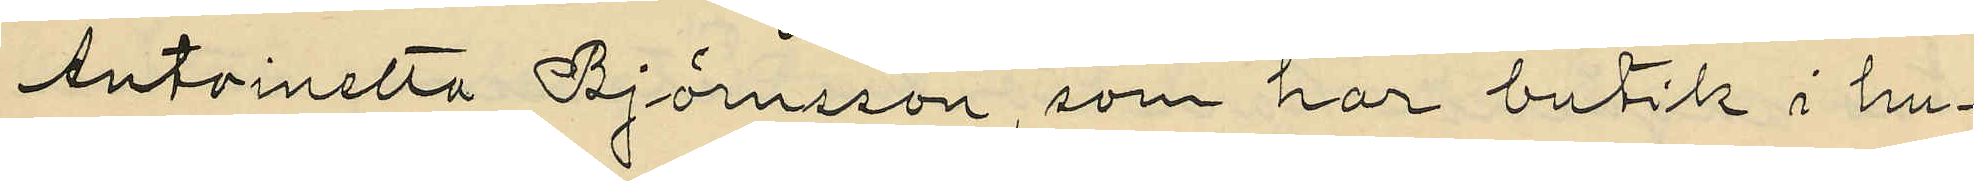Antoinetta Björnsson, som har butik i hu¬
